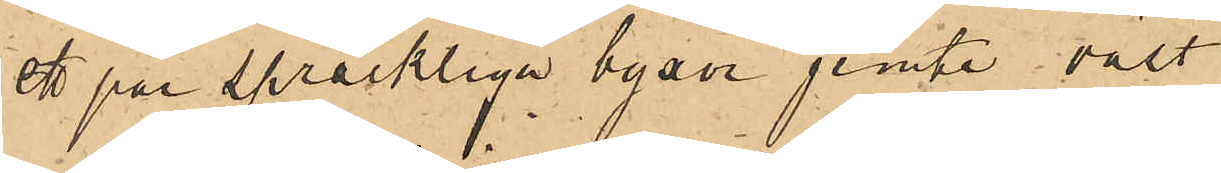ett par spräckliga byxor jemte väst
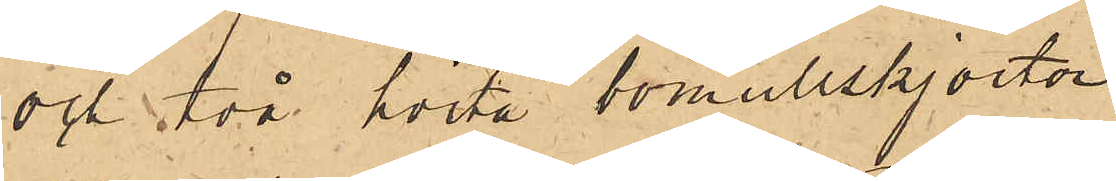och två hvita bomullskjortor
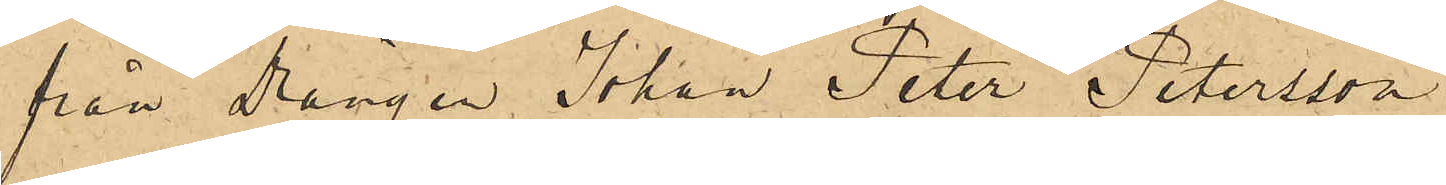från Drängen Johan Peter Petersson
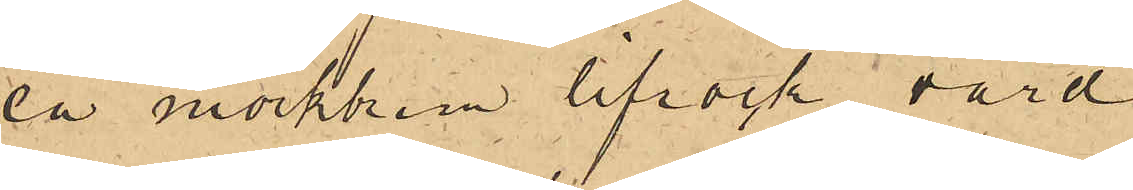en mörkbrun lifrock värd
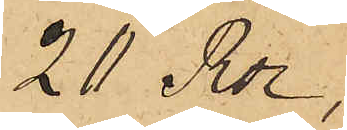20 Rdr,
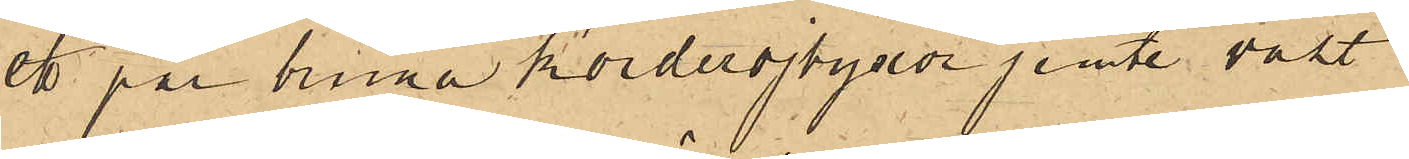ett par bruna korderojbyxor jemte väst
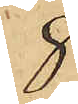8
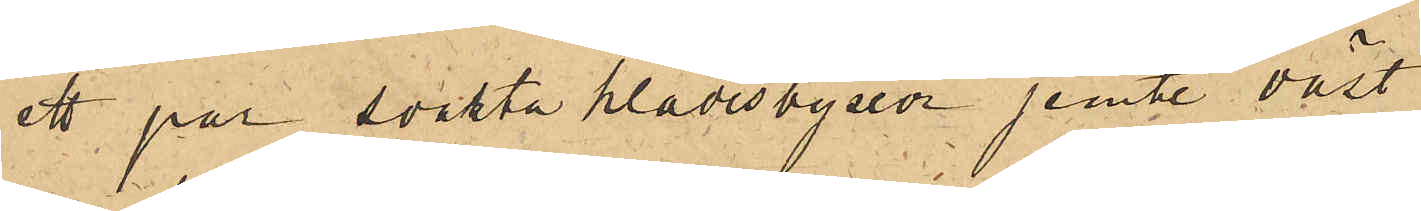ett par svarta klädesbyxor jemte väst
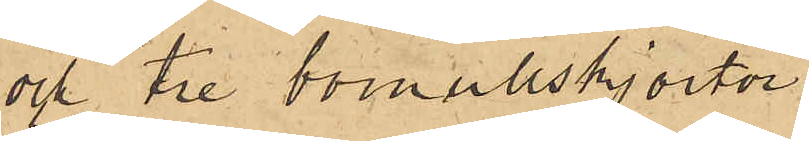och tre bomullskjortor
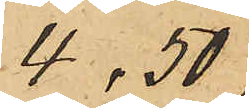4,50
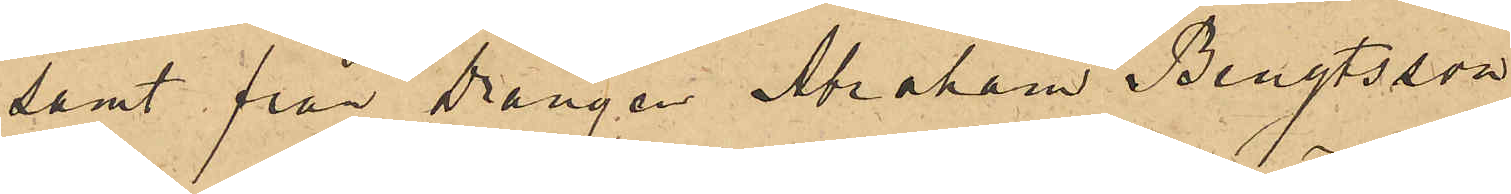samt från Drängen Abraham Bengtsson
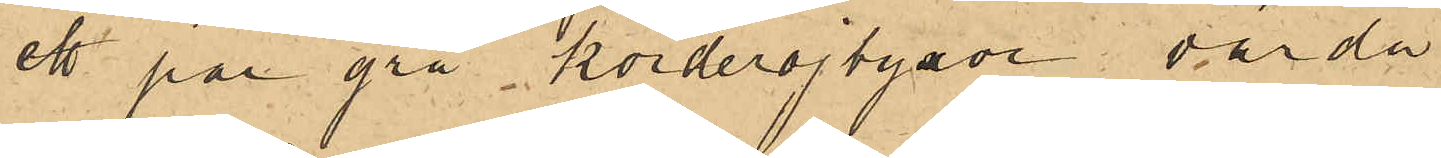ett par grå korderojbyxor värda
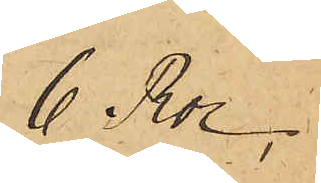6 Rdr
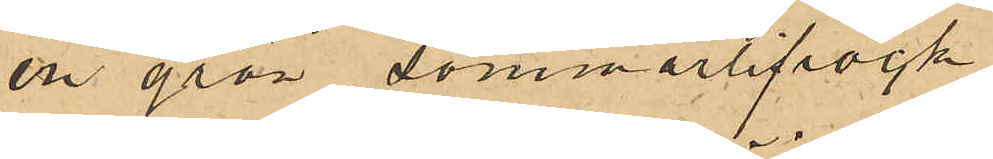en grön sommarlifrock
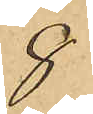8
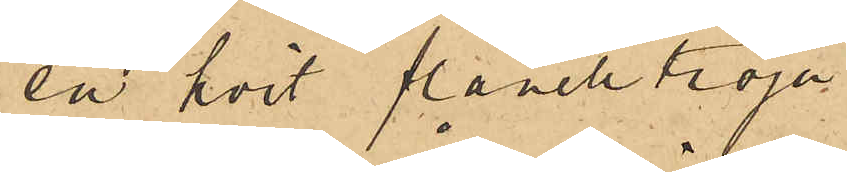en hvit flanelltröja
